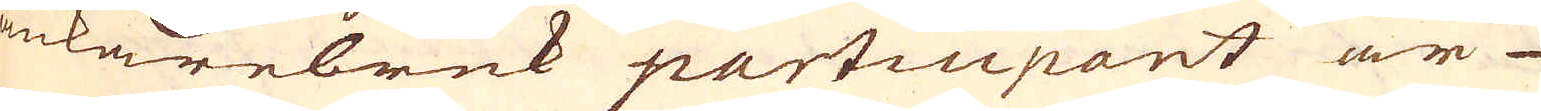ankarebruk participant är
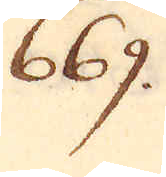669.
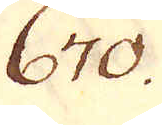670.
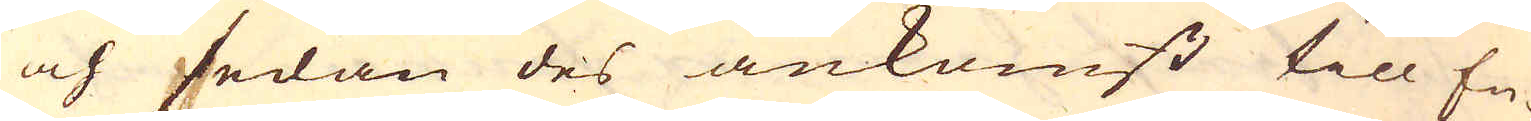och sedan des ankomst till En-
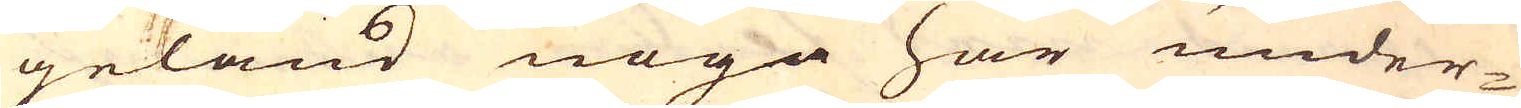geland noga har under-
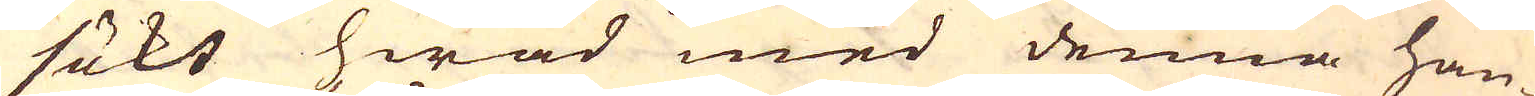sökt hwad med denna han-
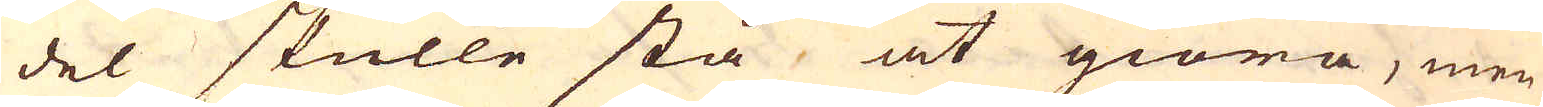del skulle stå at giöra, men
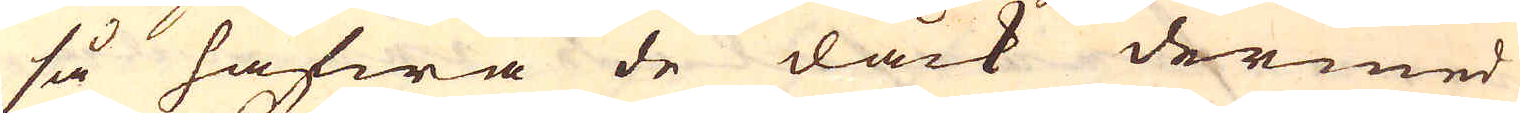så hafwa de dåck dermed
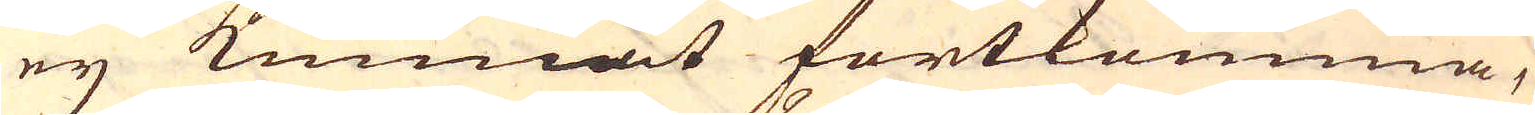ey kunnat fortkomma,
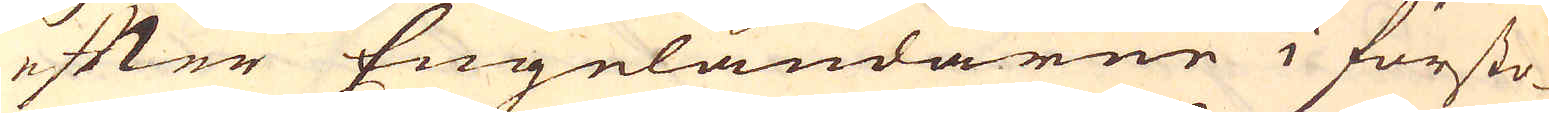efter Engeländarne i försto-
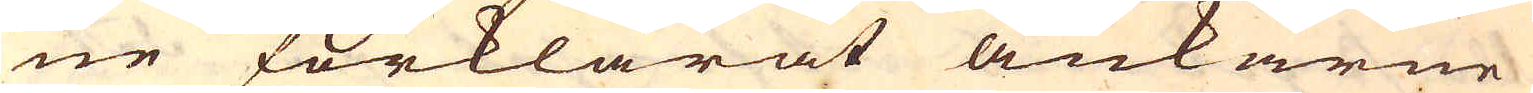ne förklarat ankarne
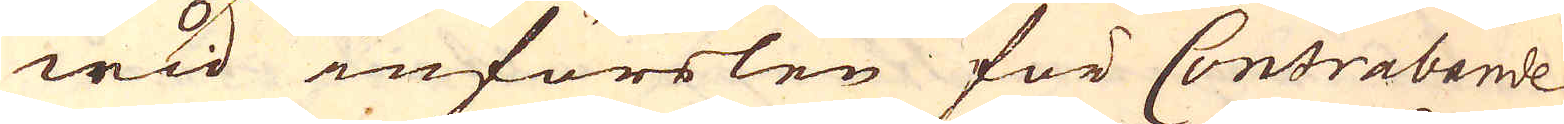wid införslen för Contrabande
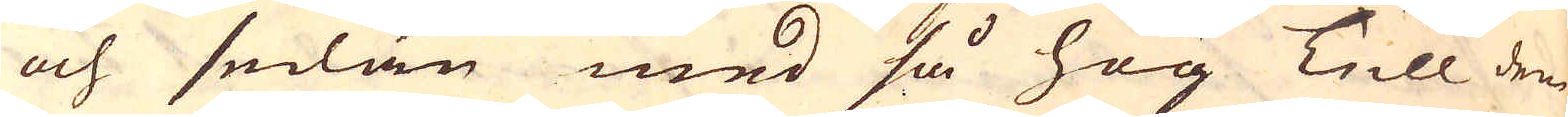och sedan med så hög Tull dem
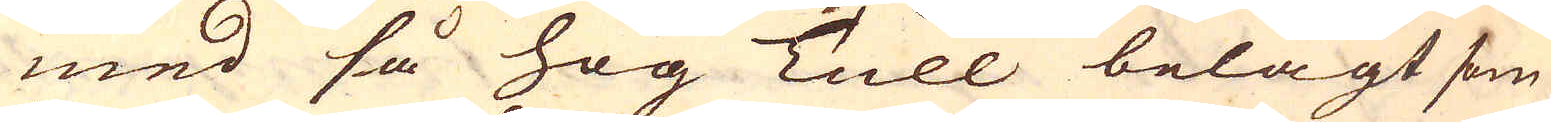med så hög Tull belagt som
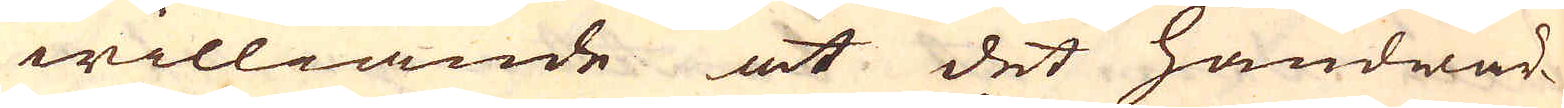williande at det handwär-
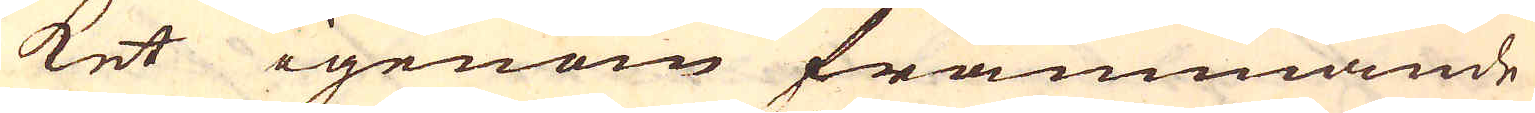ket igenom främmande
